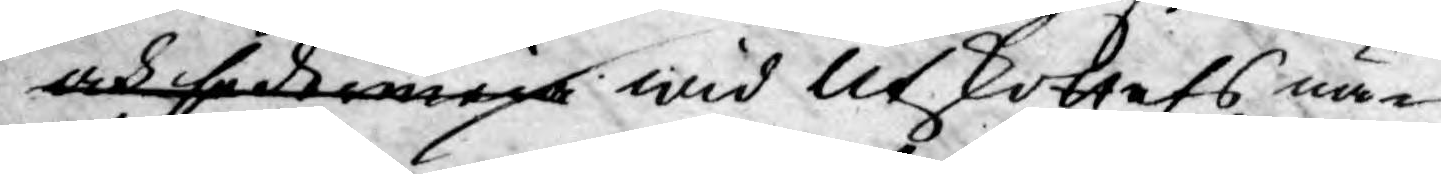och sedermera wid Utskottets nä¬
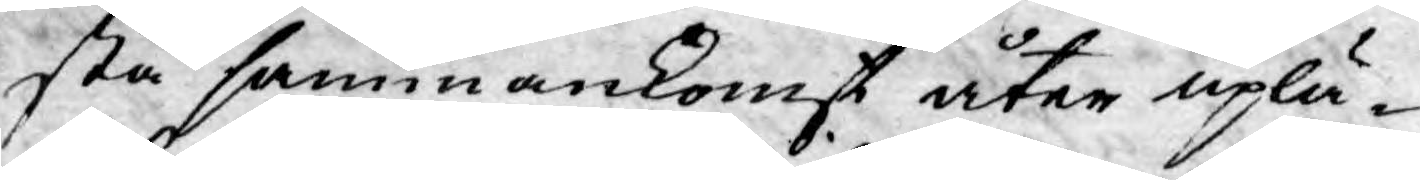sta sammankomst åter uplä¬
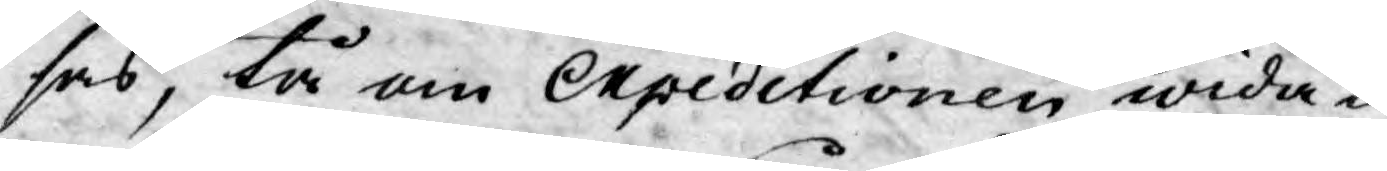sas, tå om Expeditionen wida¬
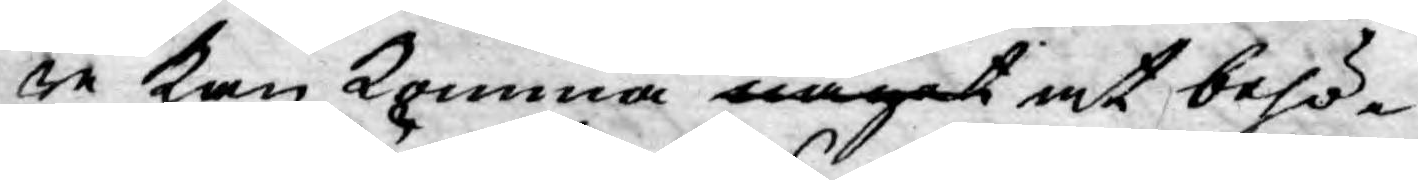re kan komma något at behö¬
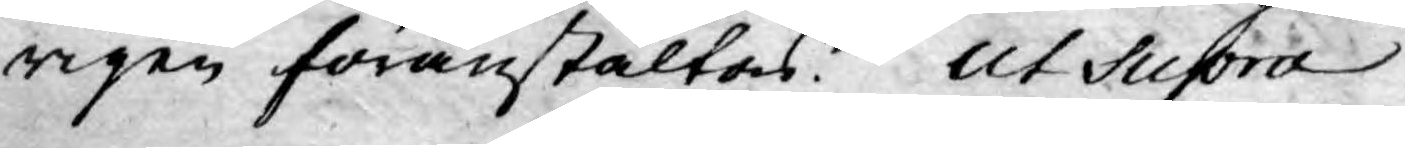rigen föranstaltas. Ut Supra
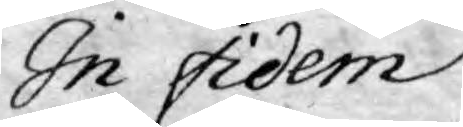In fidem
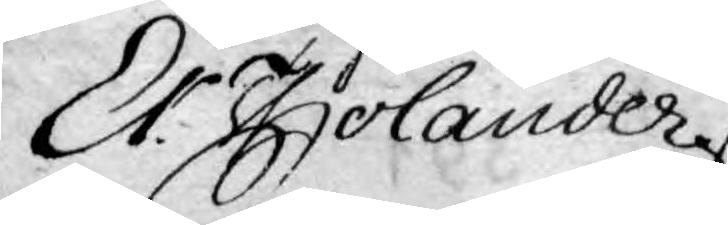Er: Tholander
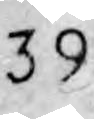392
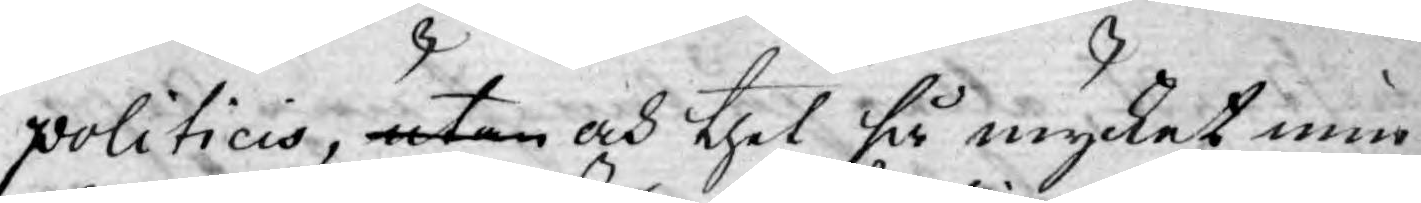politicis, utan och thet så mycket min¬
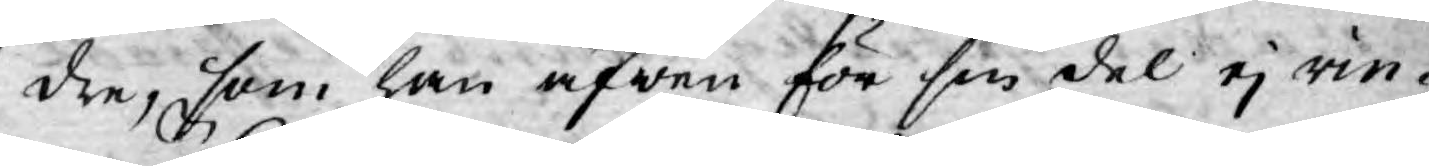dre, som han äfwen för sin del ej rin¬
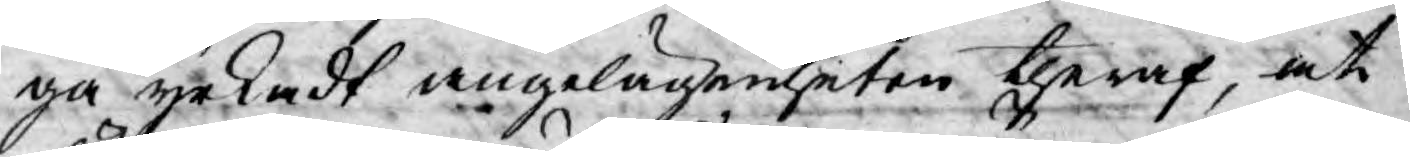ga yrkadt angelägenheten theraf, at
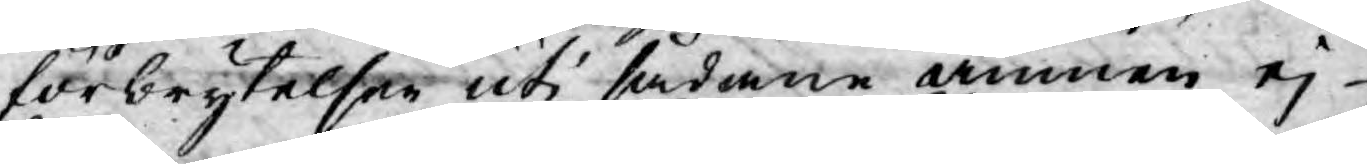förbrytelser uti sådane ämnen ej
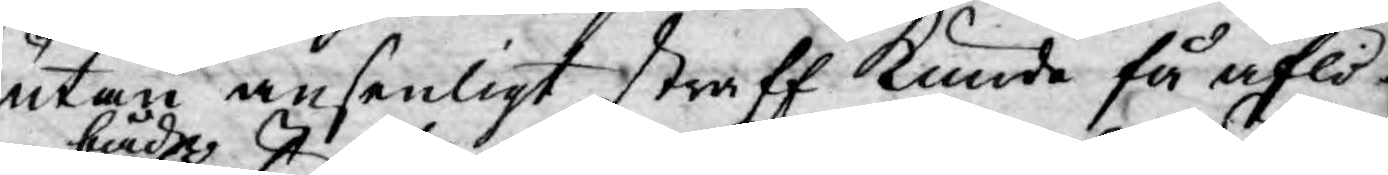utan ansenligt straff Kunde få aflö¬
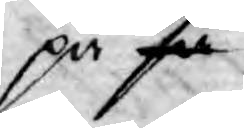pa så både
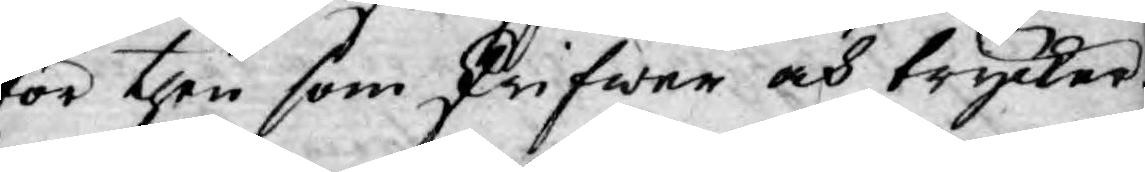för then som skrifwer och trycker.
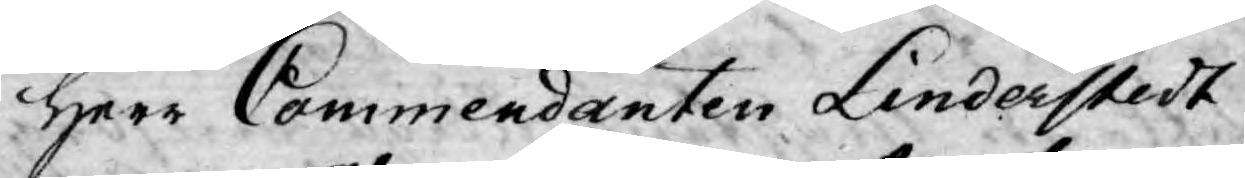Herr Commendanten Linderstedt
